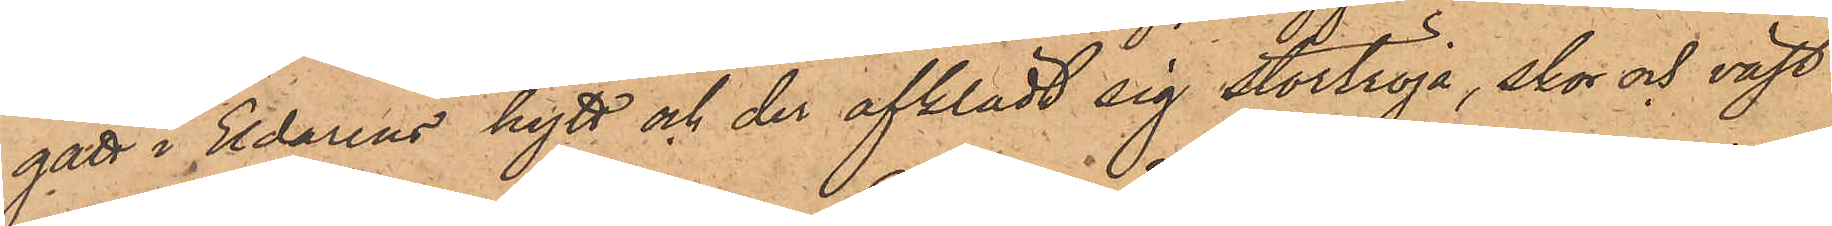gått i Eldarens hytt och der afklädt sig stortröja, skor och väst
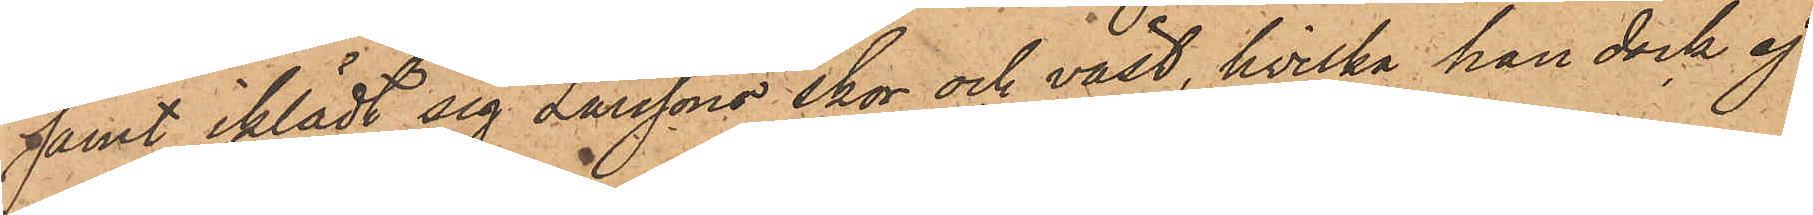samt iklädt sig Larssons skor och väst, hvilka han dock ej
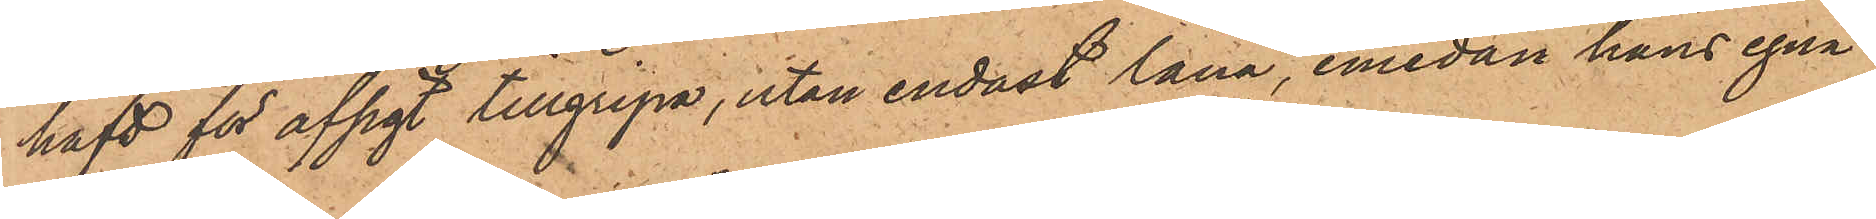haft för afsigt tillgripa, utan endast låna, emedan hans egna
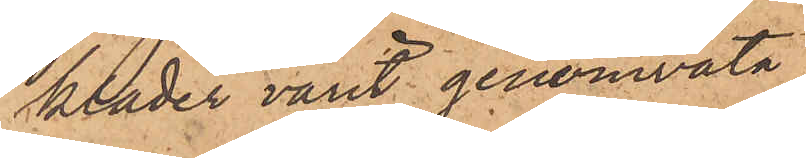kläder varit genomvåta.
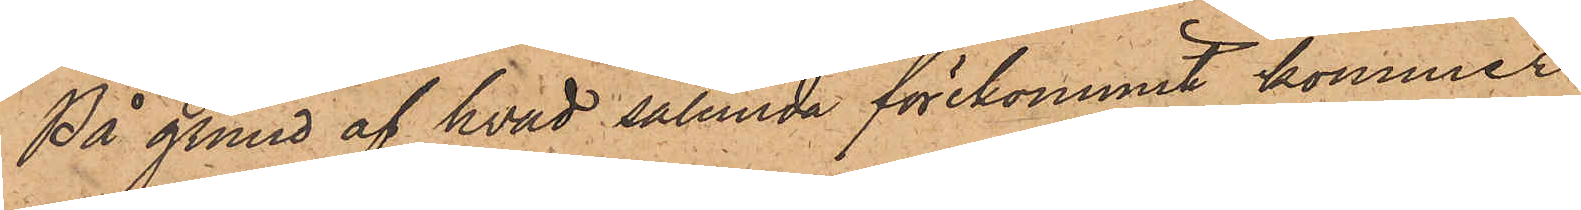På grund af hvad sålunda förekommit, kommer
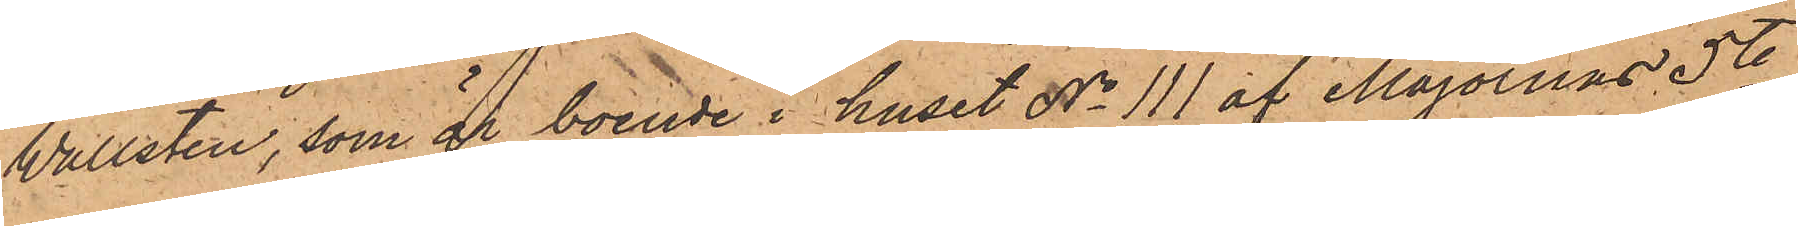Wallsten, som är boende i huset No 111 af Majornas 5te
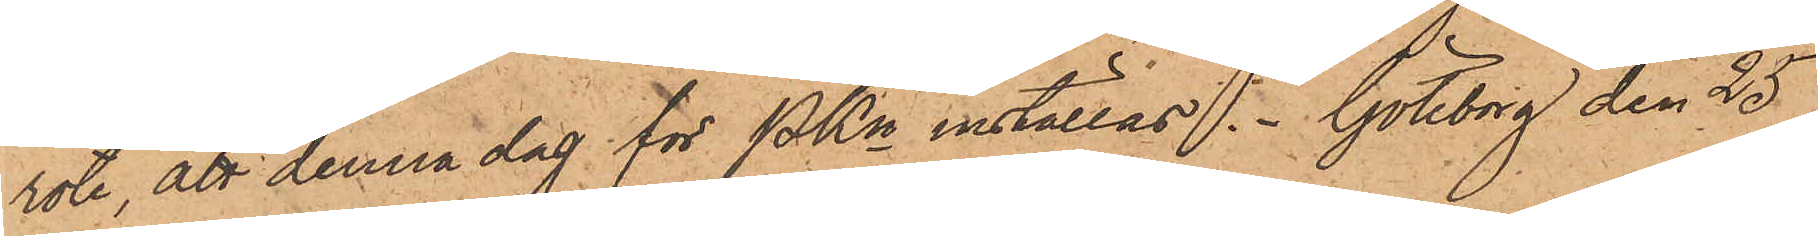rote, att denna dag för PKn inställas. Göteborg den 25
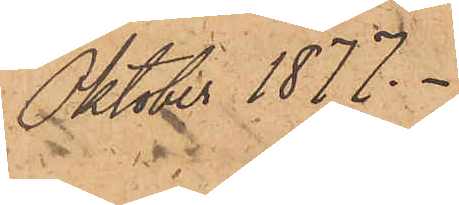Oktober 1877.
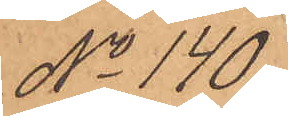No 140.
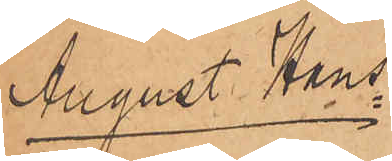August Hans¬
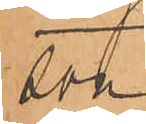son.
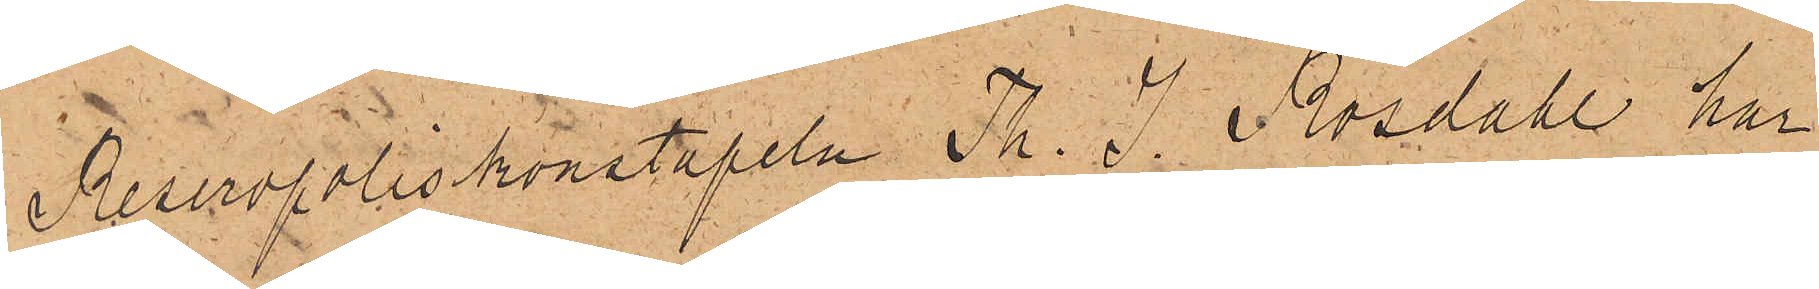Reservpoliskonstapeln Th. J. Rosdahl, har
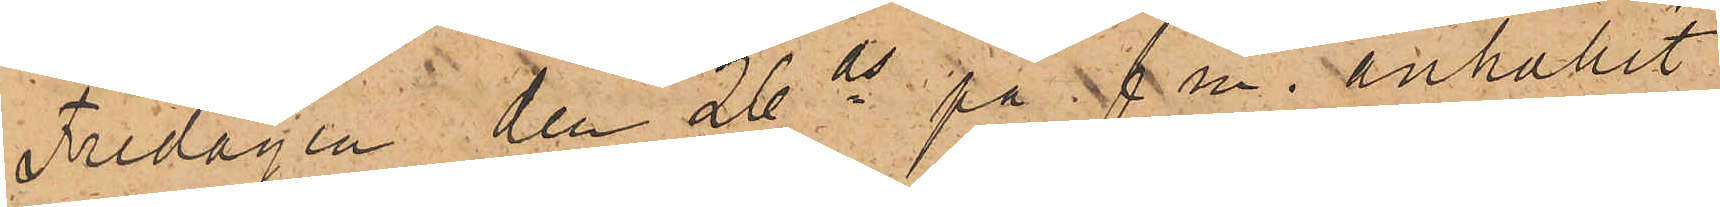Fredagen den 26 ds på f. m. anhållit
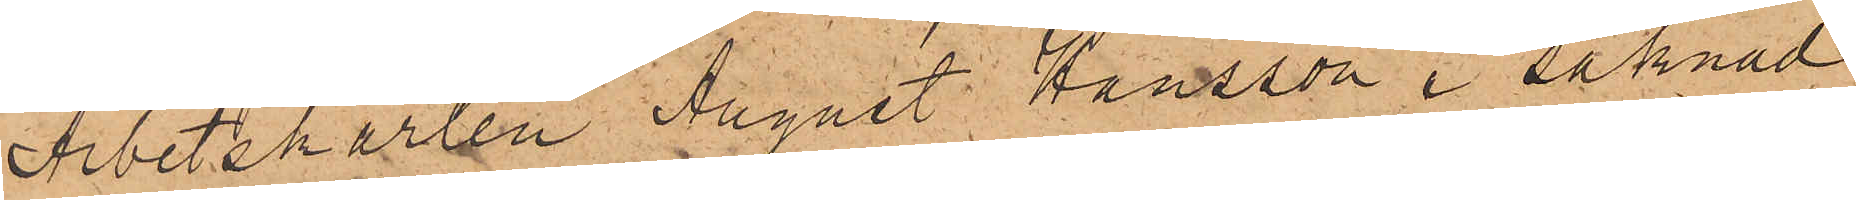Arbetskarlen August Hansson i saknad
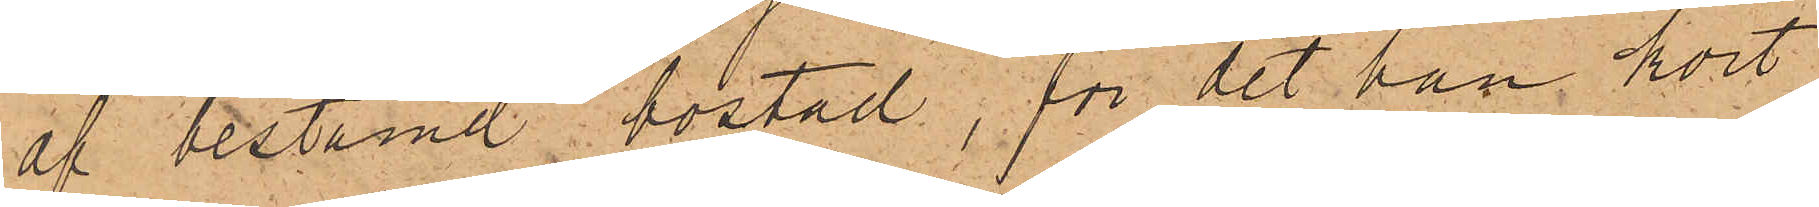af bestämd bostad, för det han kort
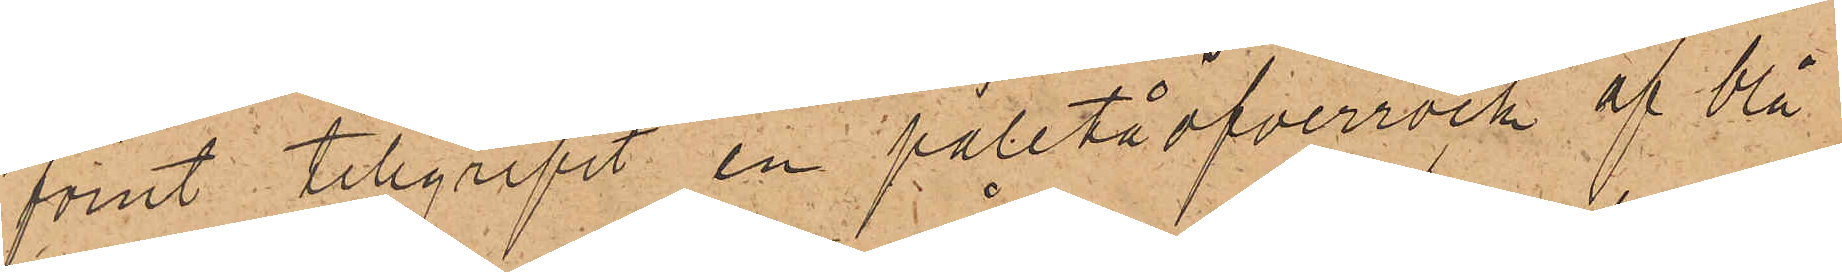förut tillgripit en paletåöfverrock af blå
